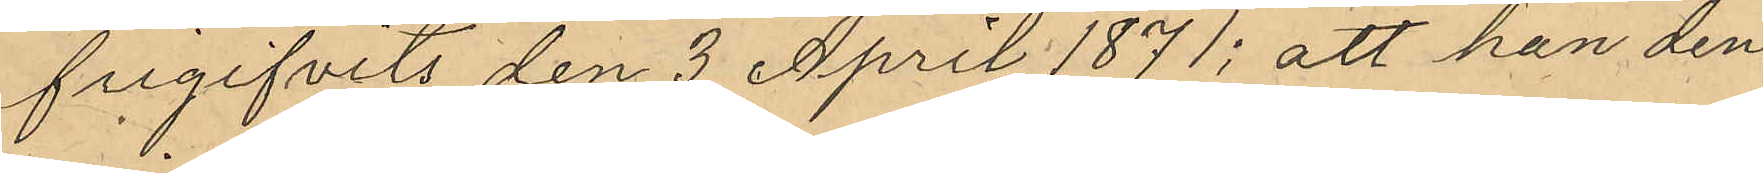frigifvits den 3 April 1871; att han den
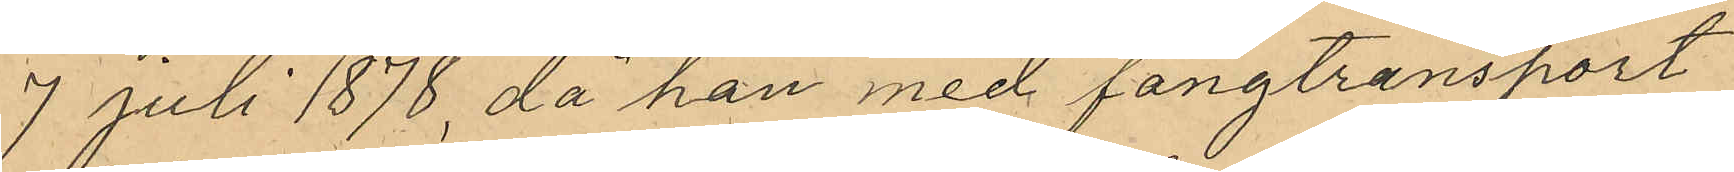7 juli 1878, då han med fångtransport
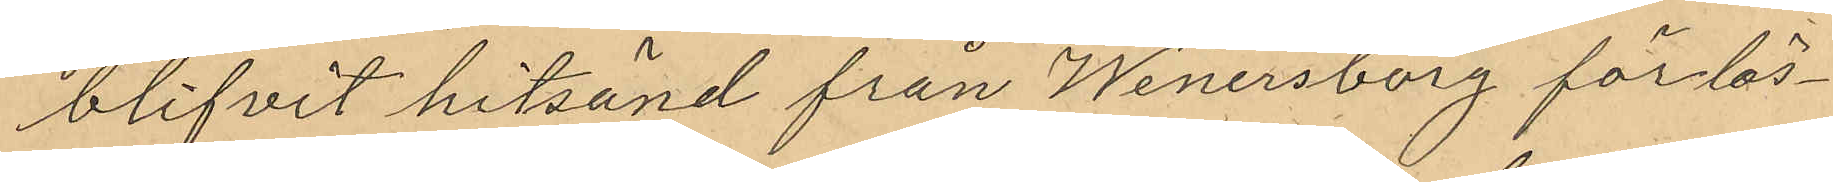blifvit hitsänd från Wenersborg för lös¬
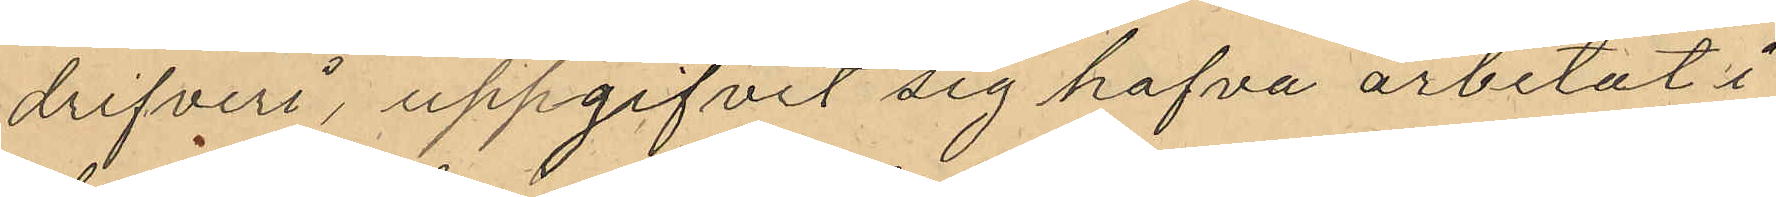drifveri, uppgifvit sig hafva arbetat i
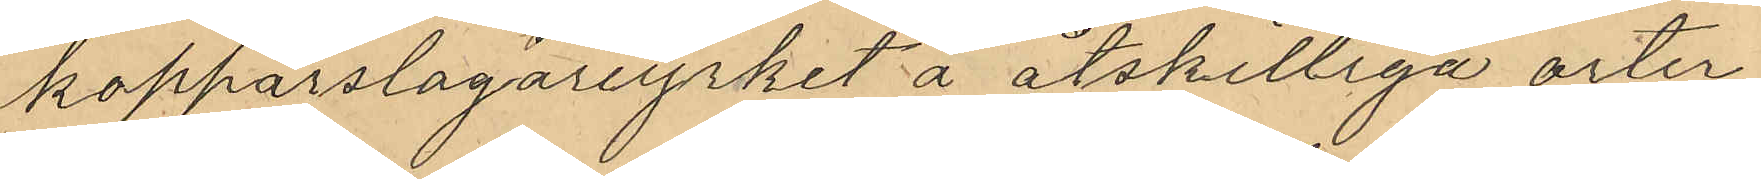kopparslagareyrket å åtskilliga orter,
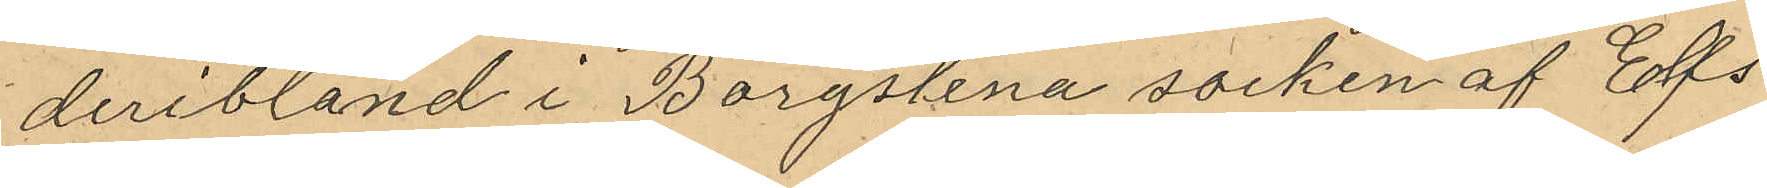deribland i Borgstena socken af Elfs¬
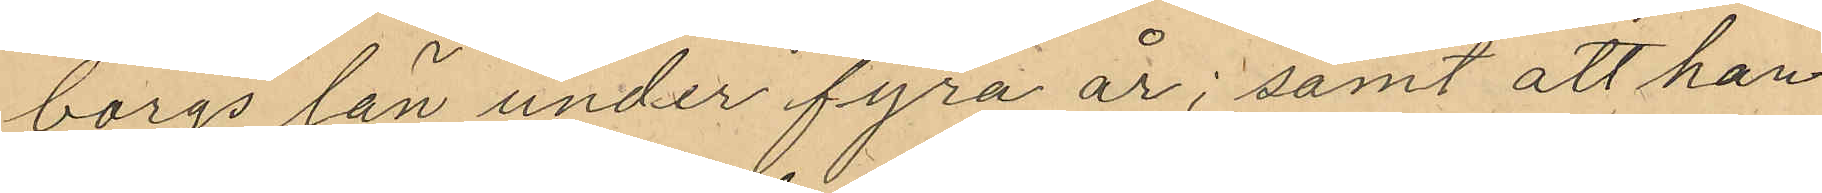borgs län under fyra år; samt att han
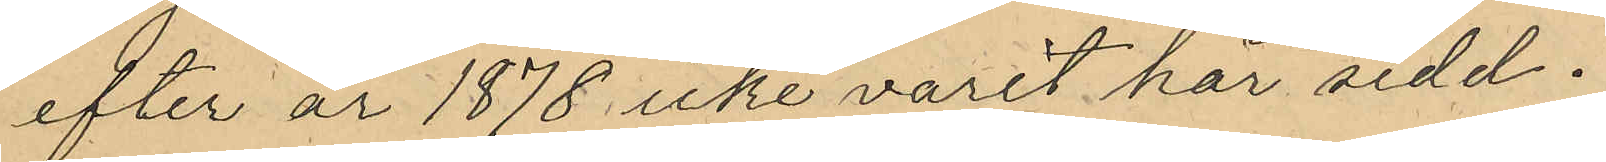efter år 1878 icke varit här sedd.
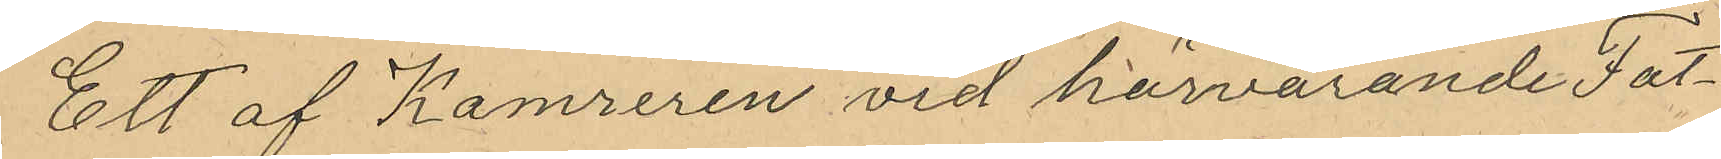Ett af Kamreren vid härvarande Fat¬
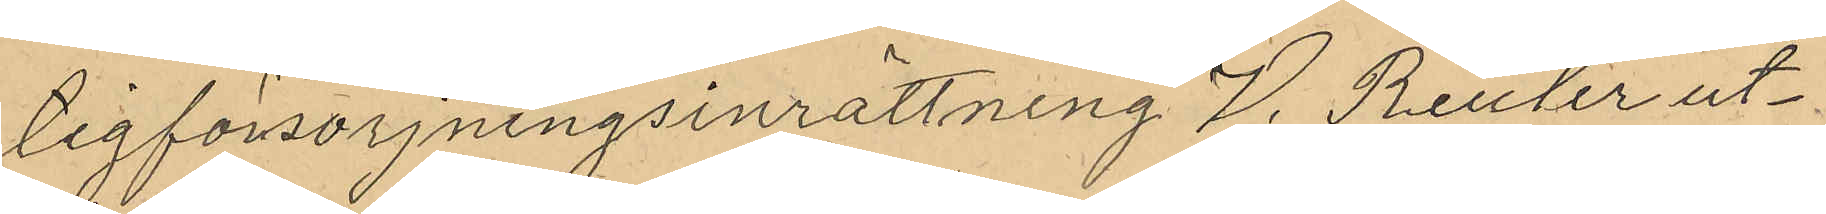tigförsörjningsinrättning J. Reuter ut¬
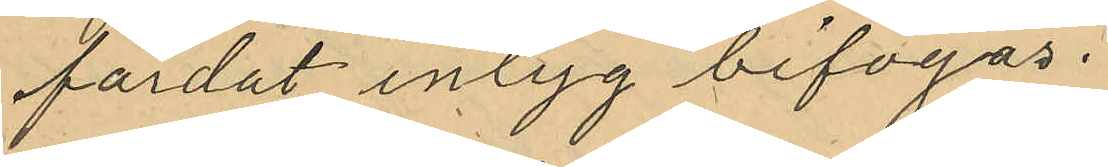färdat intyg bifogas.
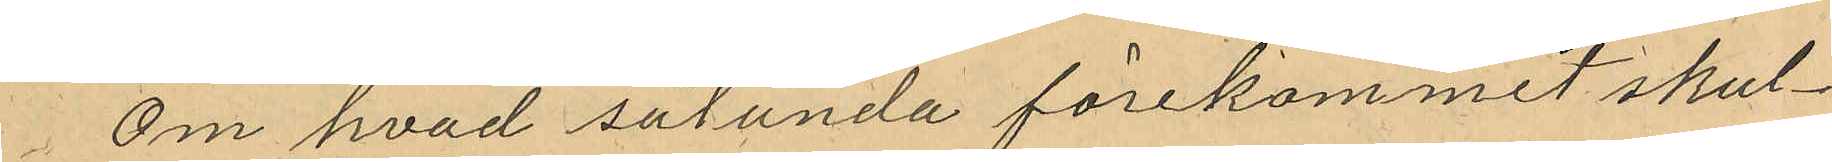Om hvad sålunda förekommit skul¬
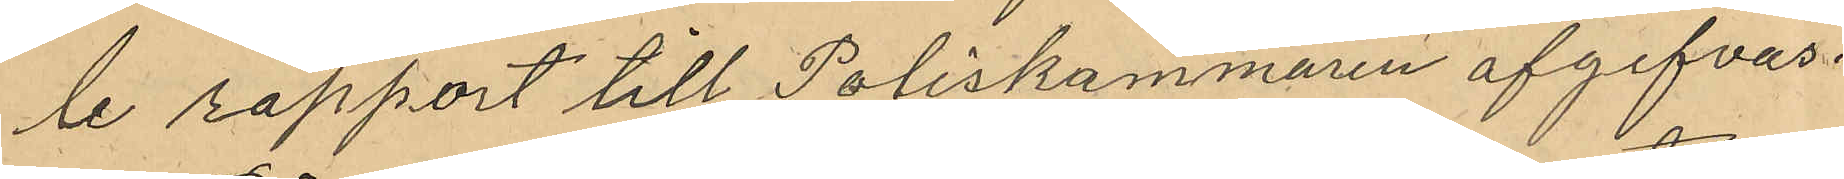le rapport till Poliskammaren afgifvas.
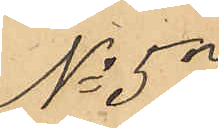No 57
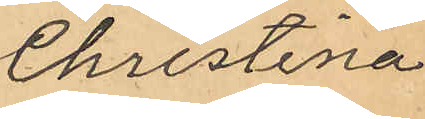Christina
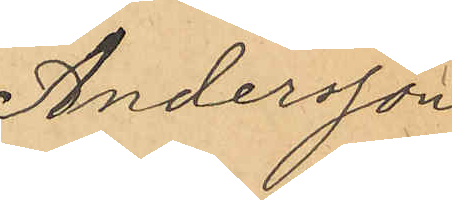Andersson
